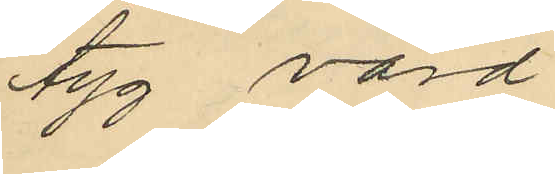tyg, värd
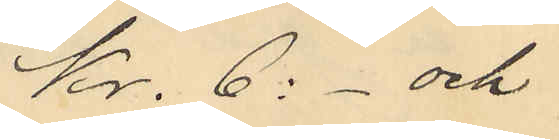Kr. 6:- och
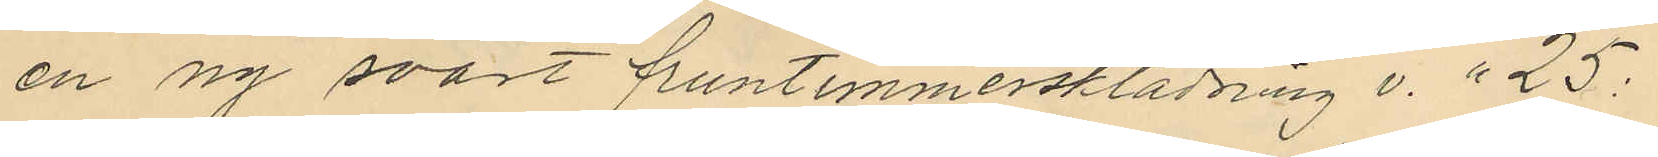en ny svart fruntimmersklädning v. " 25:
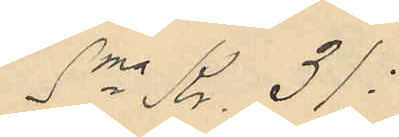Sma Kr. 31:
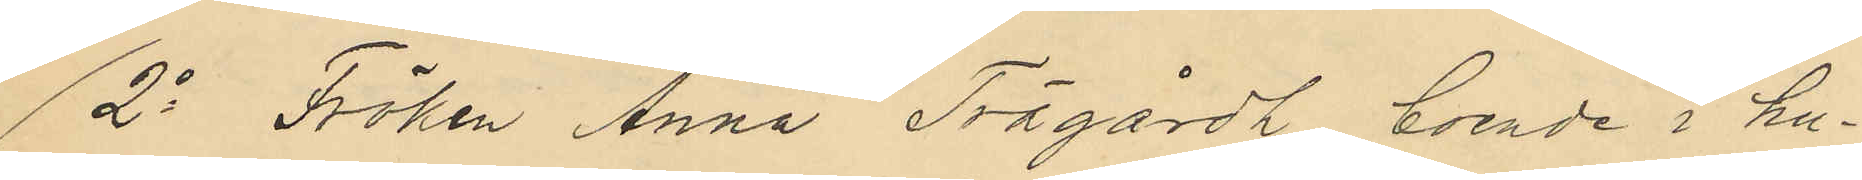2o Fröken Anna Trägårdh, boende i hu¬
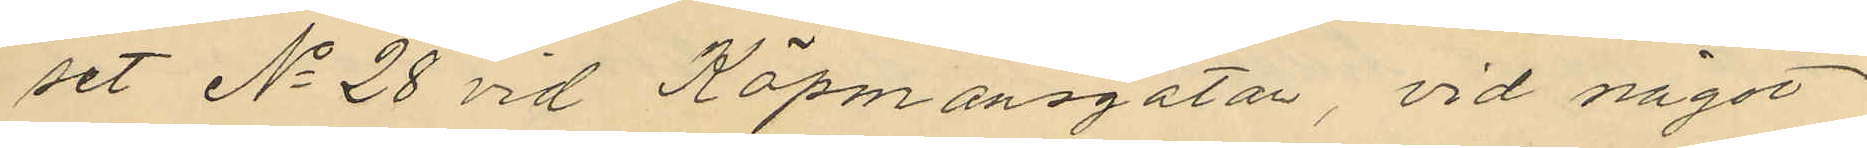set No 28 vid Köpmansgatan, vid något
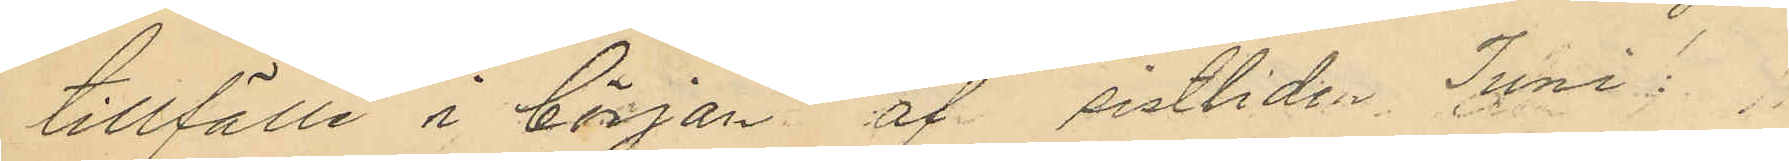tillfälle i början af sistlidn Juni:
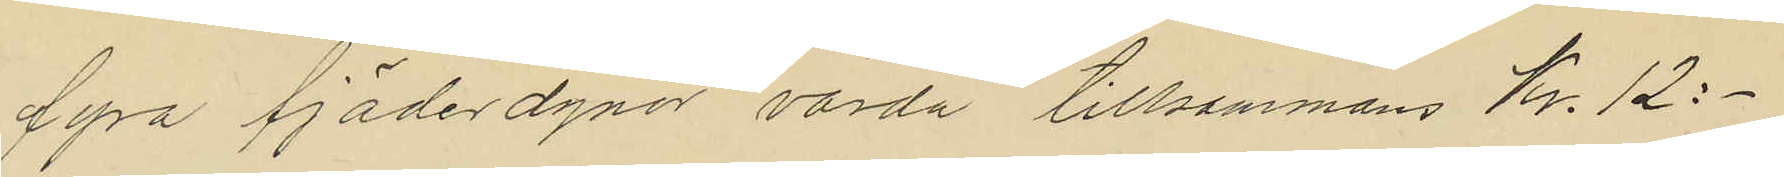fyra fjäderdynor värda tillsammans Kr. 12:-
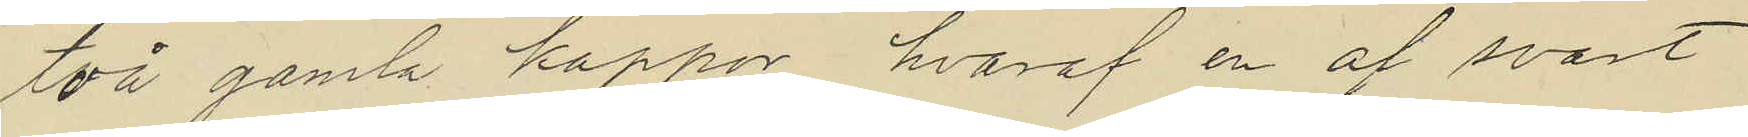två gamla kappor, hvaraf en af svart
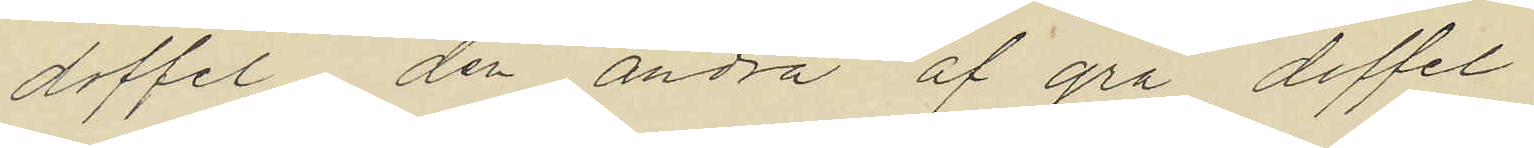doffel den andra af grå doffel
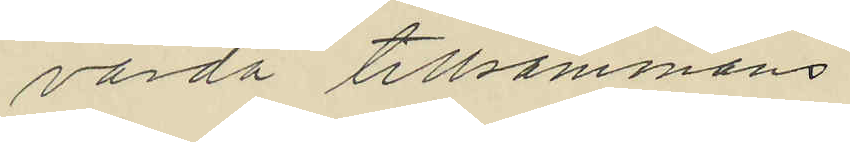värda tillsammans
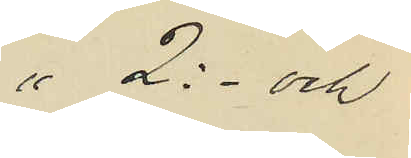" 2:- och
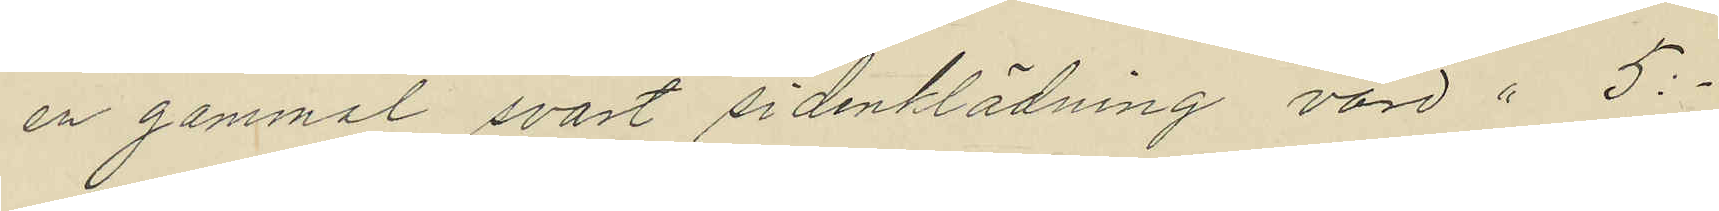en gammal svart sidenklädning värd " 5:-
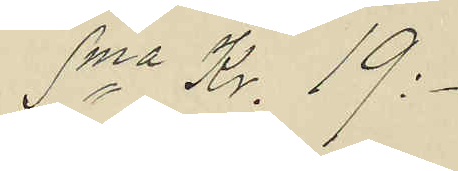Sma Kr. 19:-
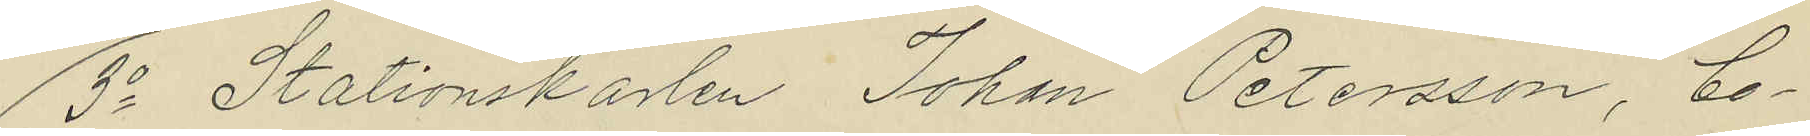3o Stationskarlen Johan Petersson, bo¬
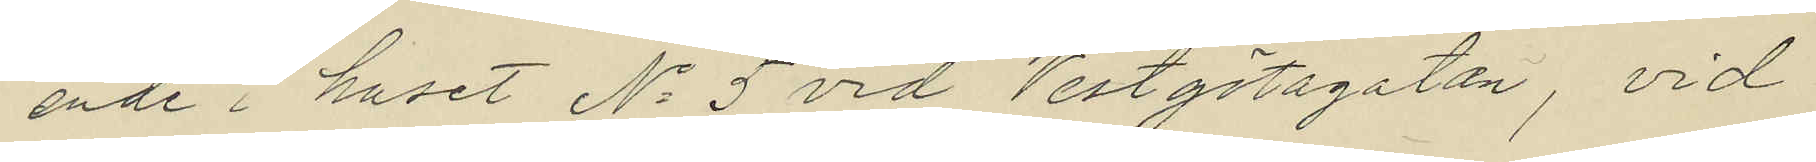ende i huset No 5 vid Vestgötagatan, vid
